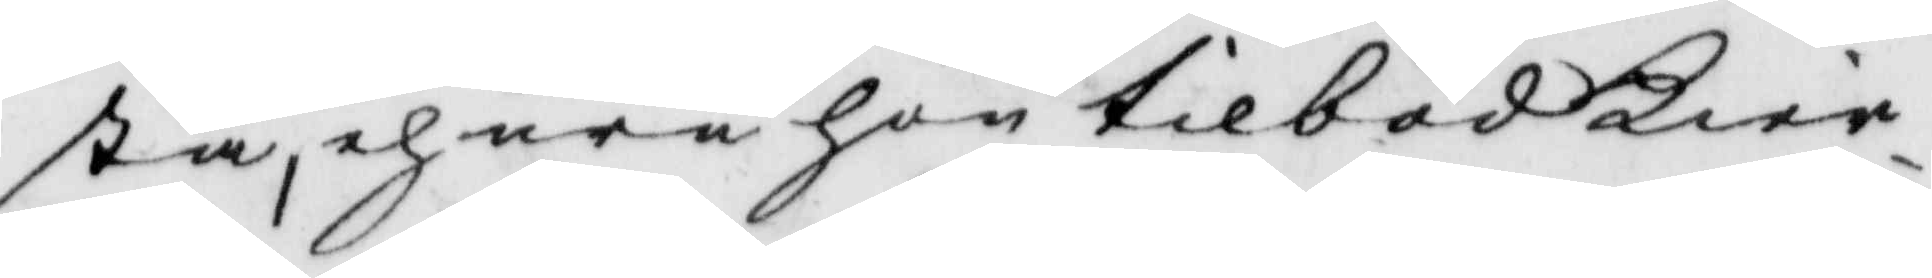sta, ehuru hon tilböd Kier¬
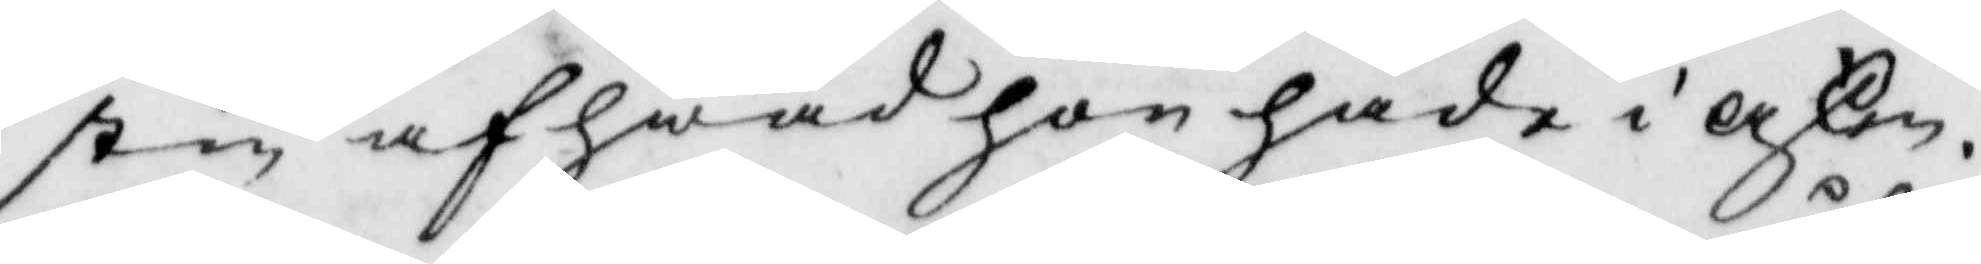stin af hwad hon hade i asken.
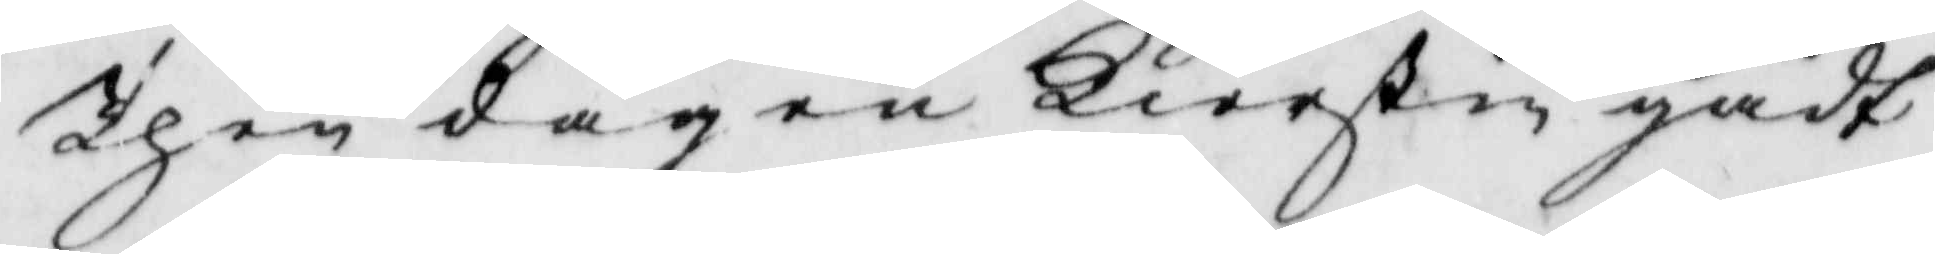Then dagen Kierstin gådt
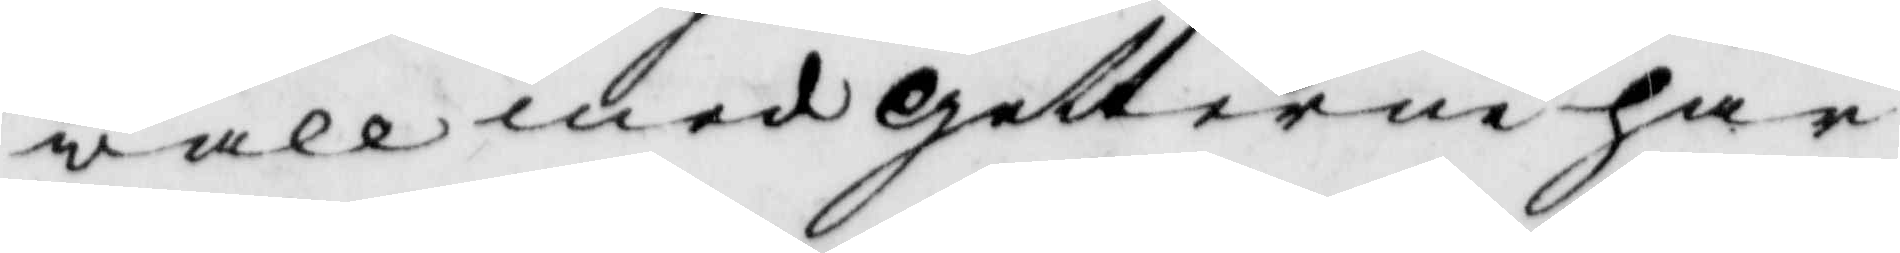wall med getterne har
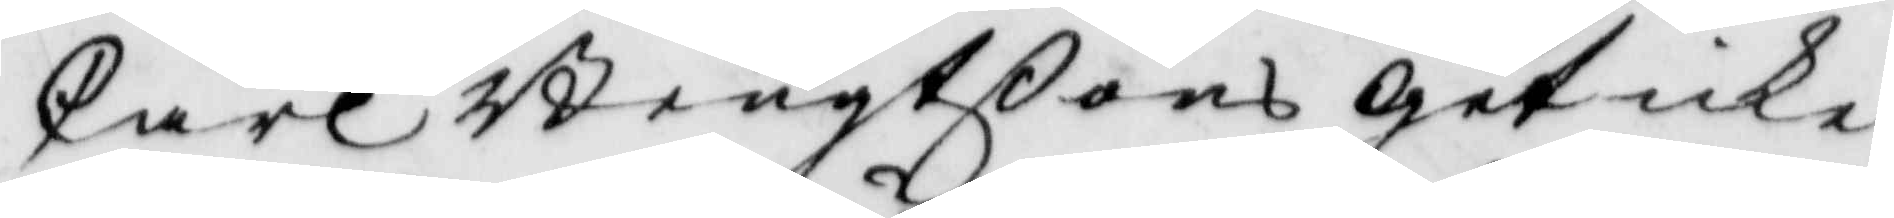Carl Bengtßons get icke
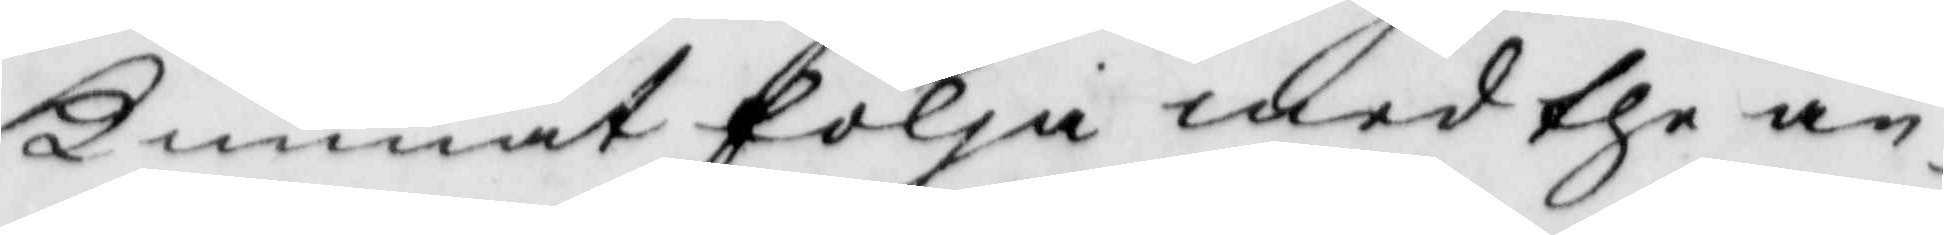kunnat följa med the an¬
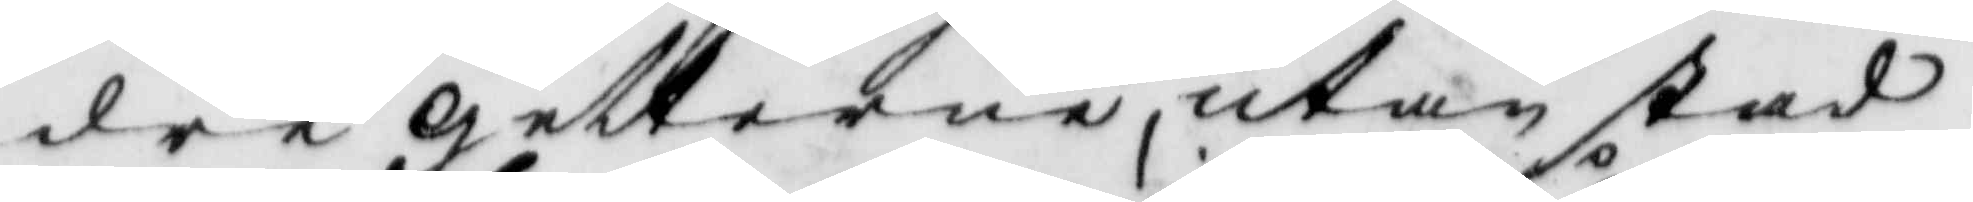dra getterne, utan stad¬
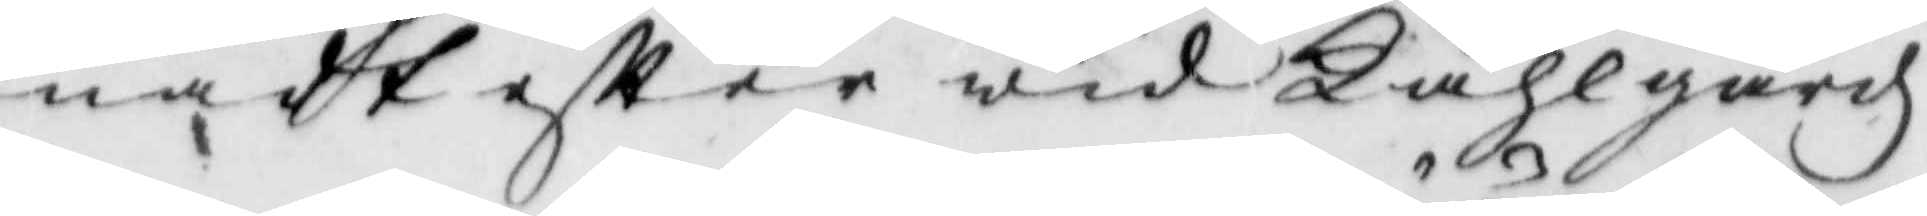nadt eftter wid Kåhlgårdz¬
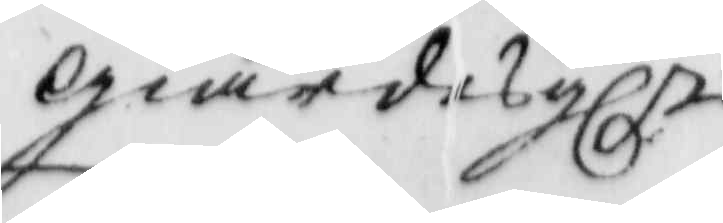giärdesgln
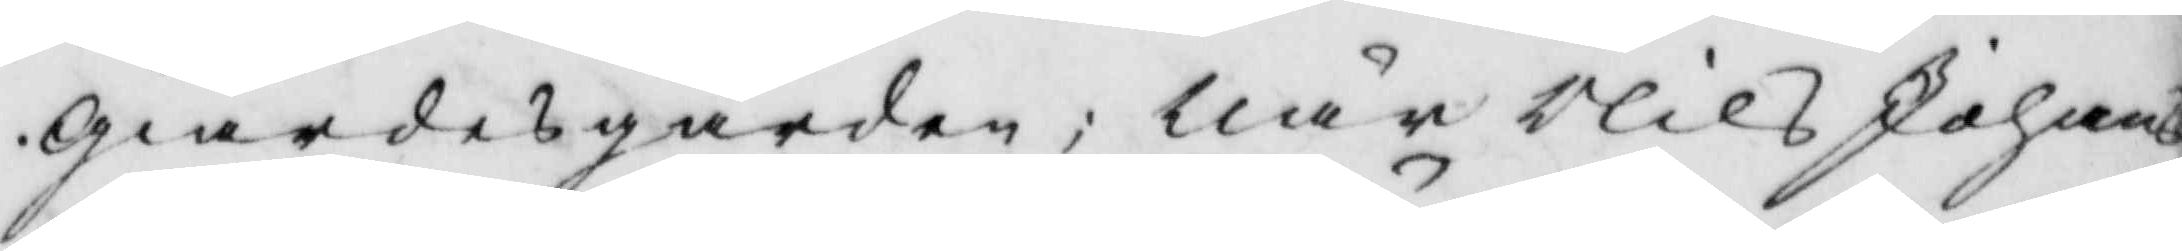giärdesgården; när Nils Johans¬
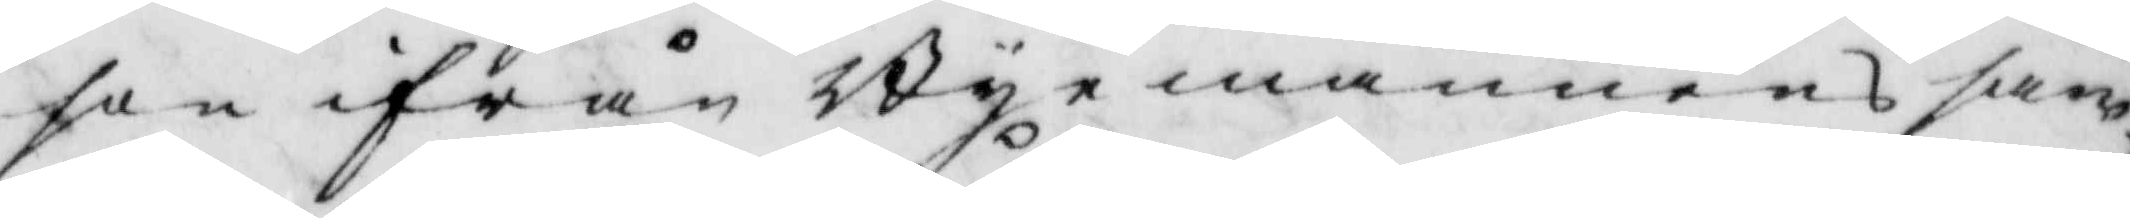son ifrån Byemännens sam¬
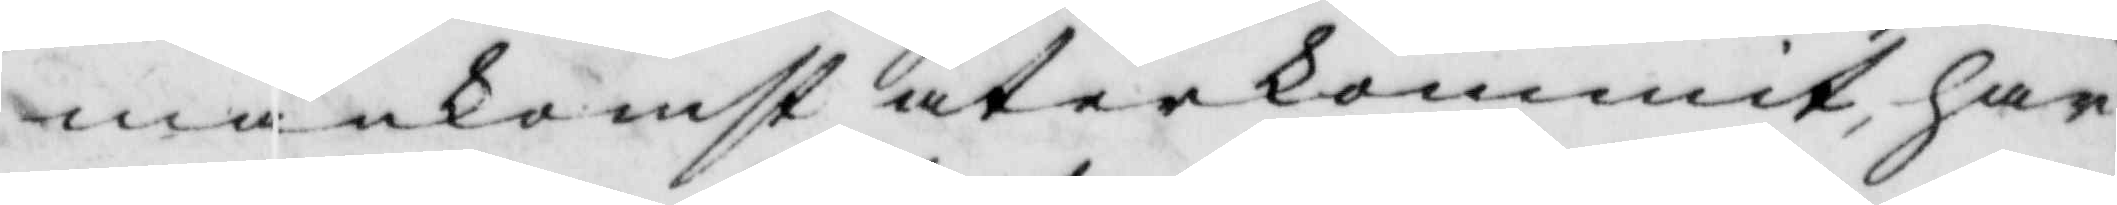mankomst återkommit, har
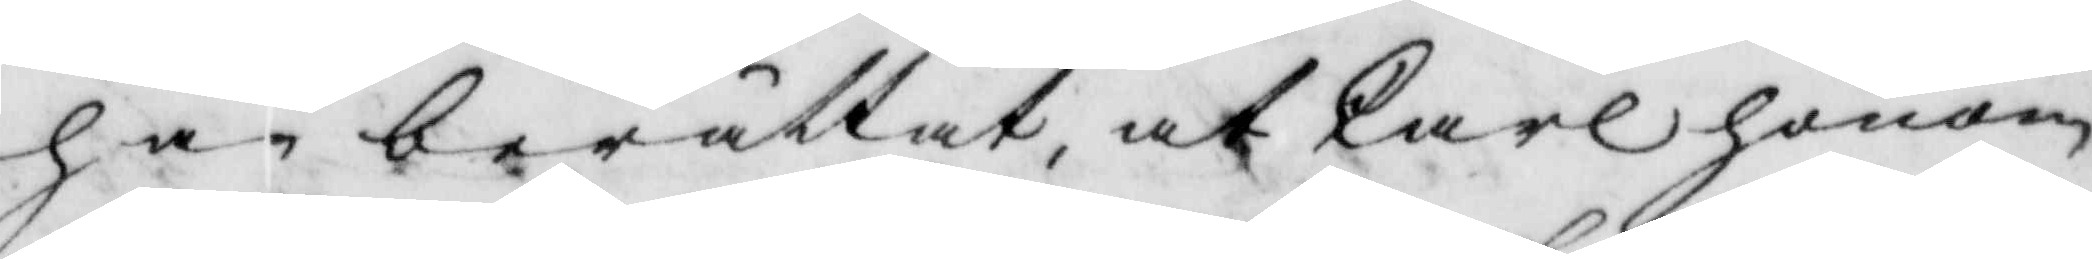han berättat, ay Carl honom
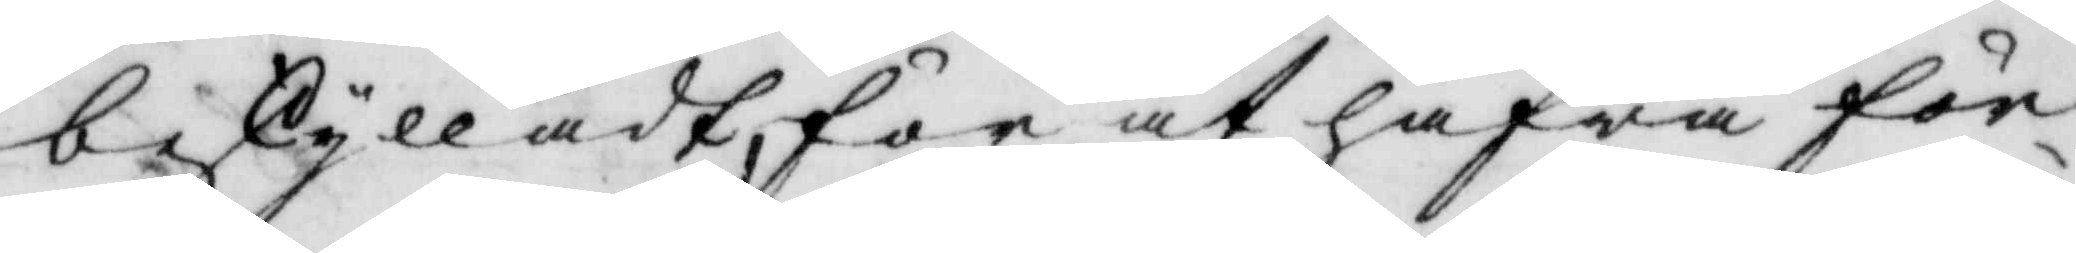beskylladt för at hafwa för¬
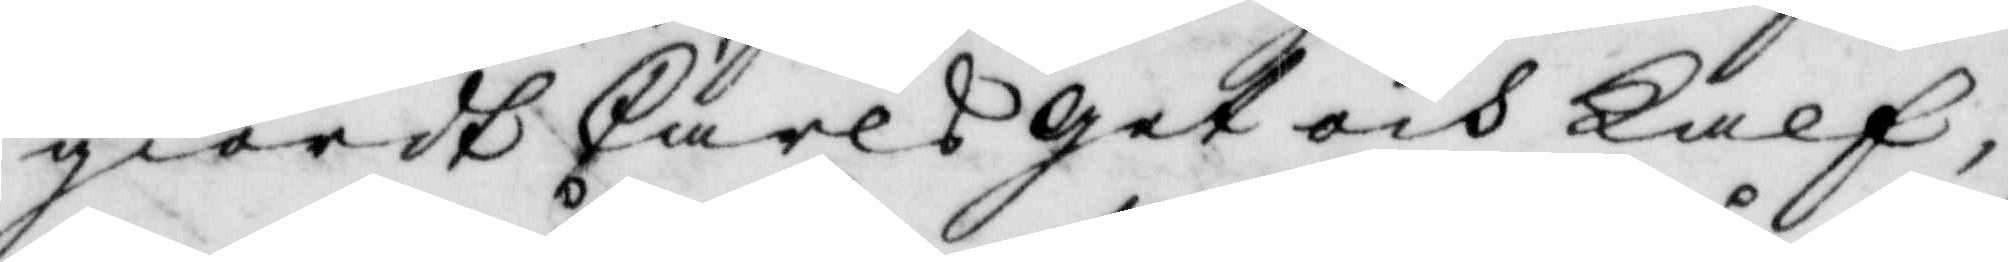giordt Carls get och Kalf,
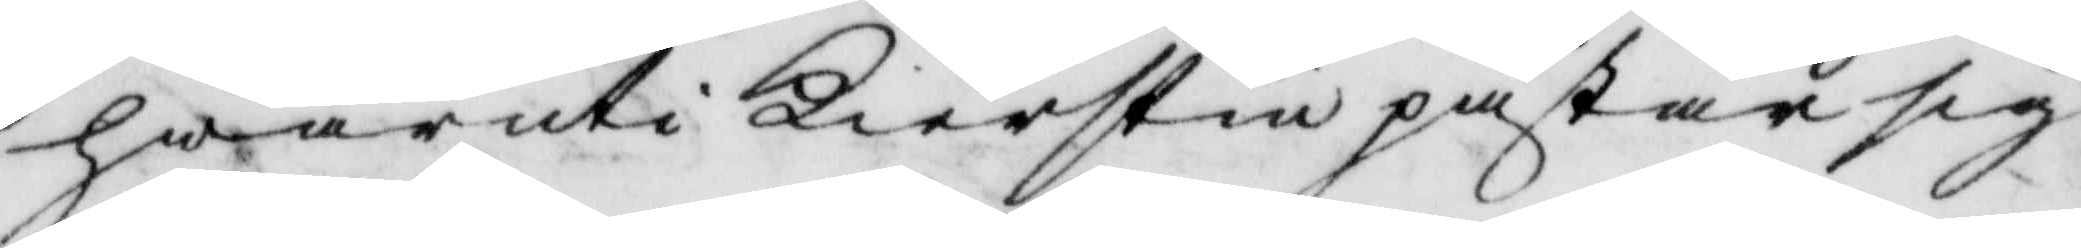hwar uti Kerstin påstår sig
